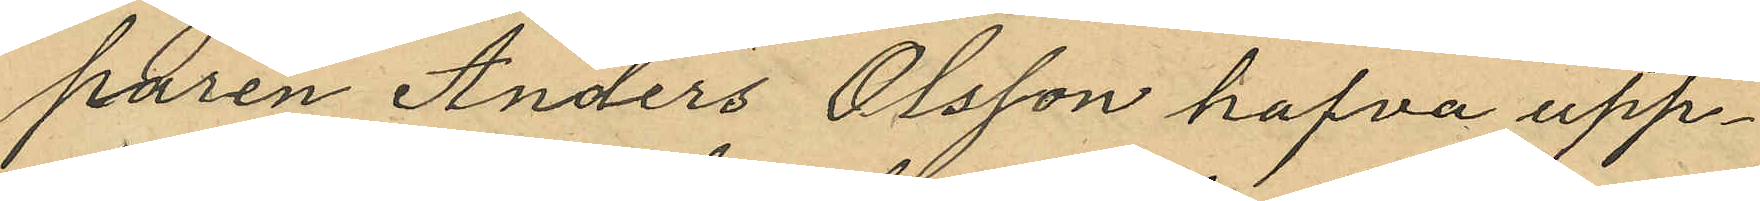paren Anders Olsson hafva upp¬
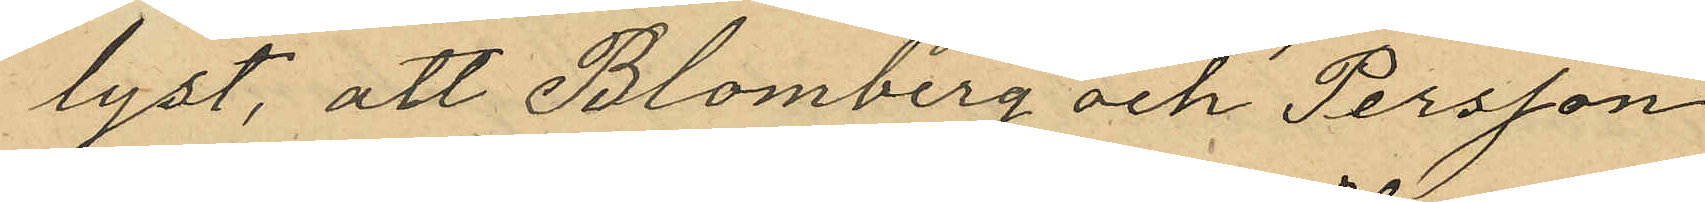lyst, att Blomberg och Persson
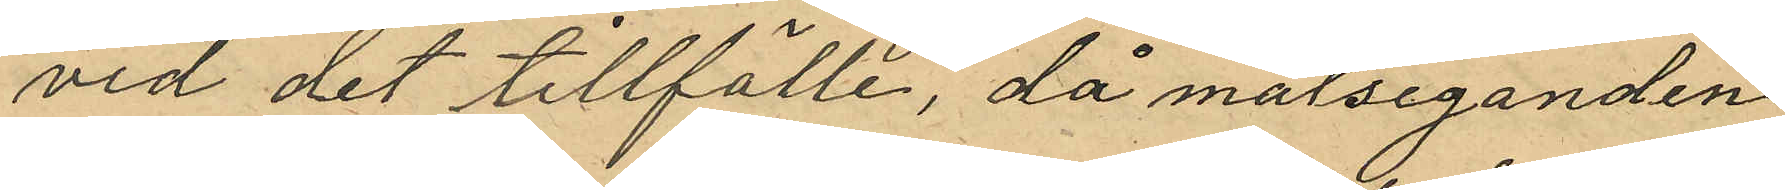vid det tillfälle, då målseganden
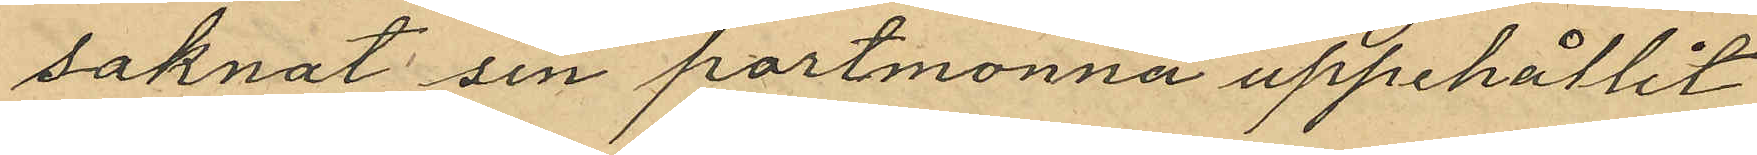saknat sin portmonnä uppehållit
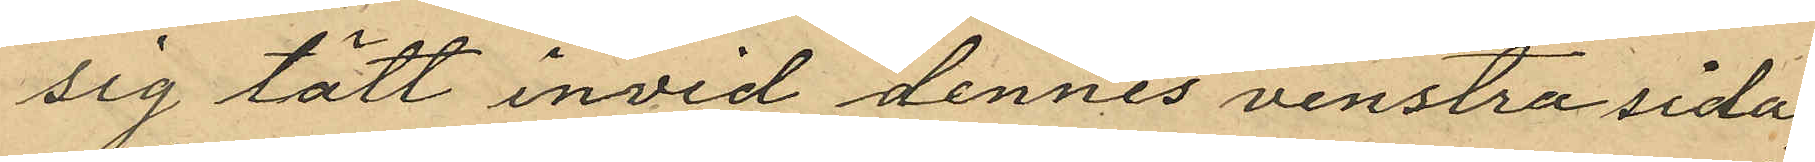sig tätt invid dennes venstra sida;
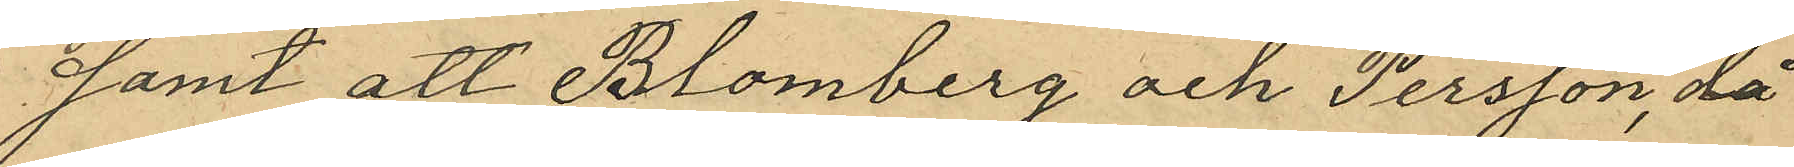samt att Blomberg och Persson, då
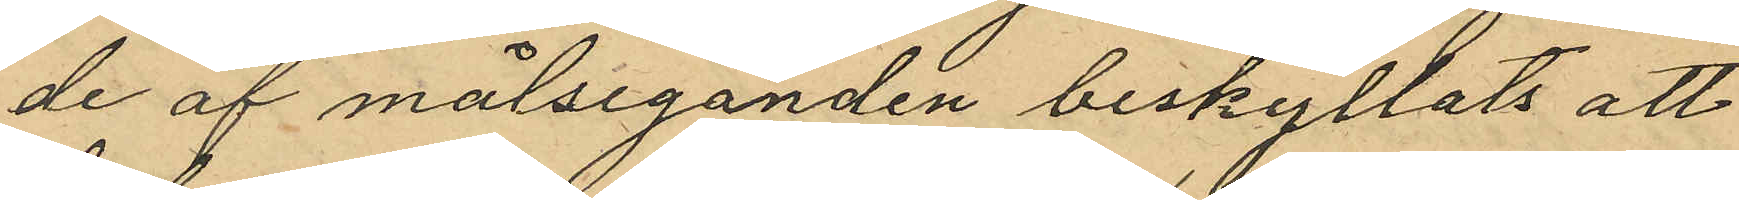de af målseganden beskyllats att
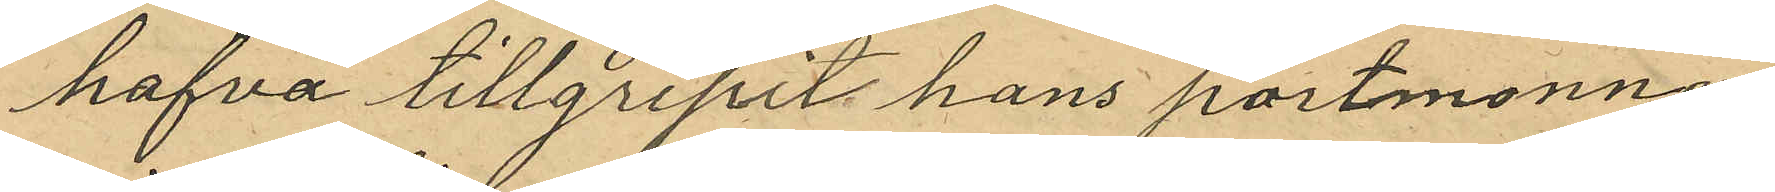hafva tillgripit hans portmonnä
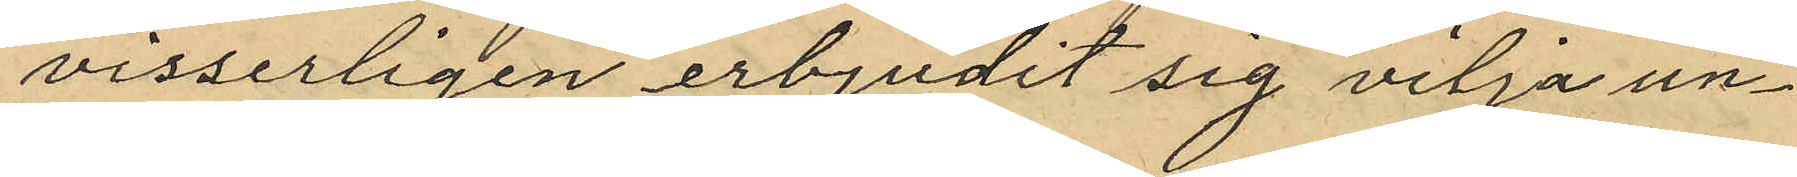visserligen erbjudit sig vilja un¬
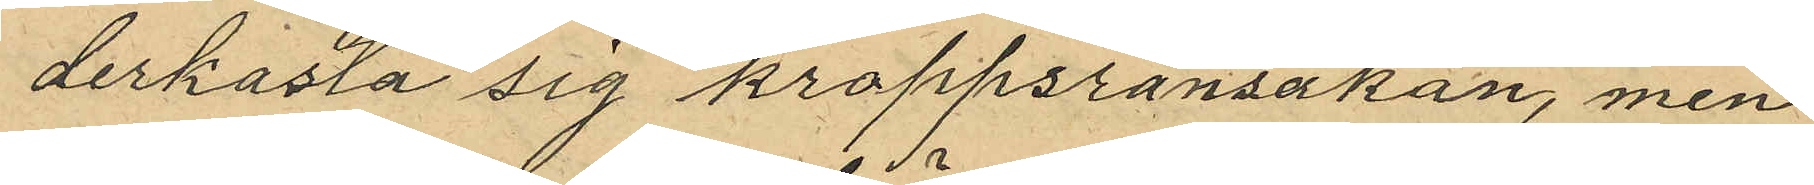derkasta sig kroppsransakan, men
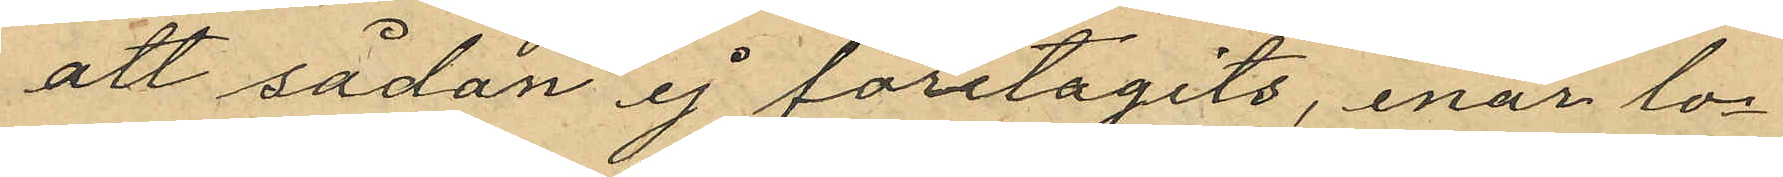att sådan ej företagits, enär lo¬
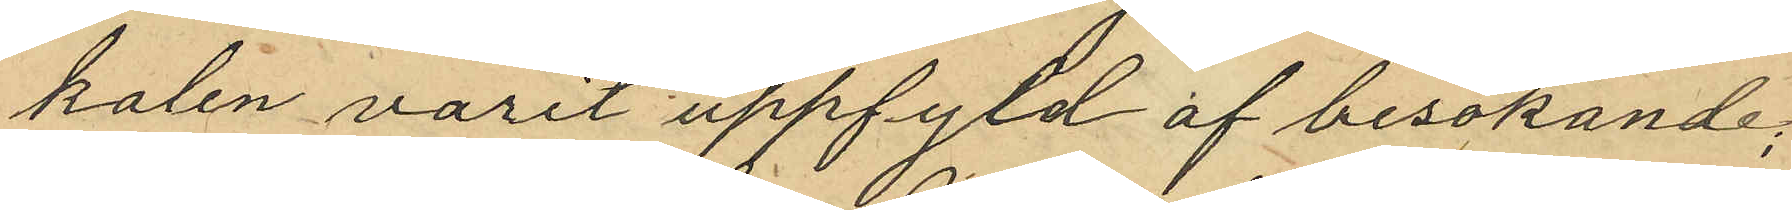kalen varit uppfyld af besökande;
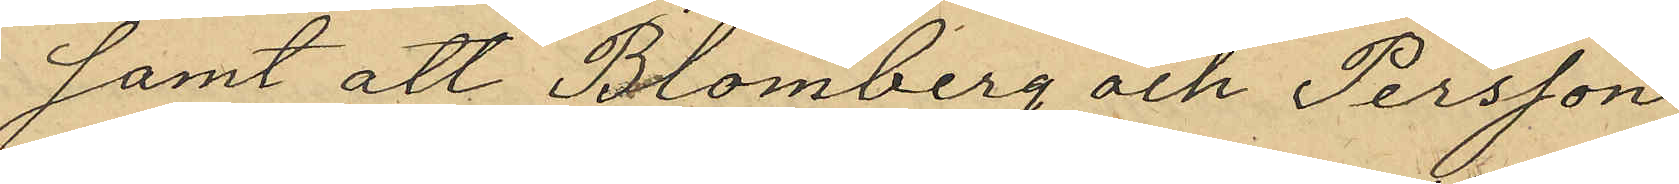samt att Blomberg och Persson
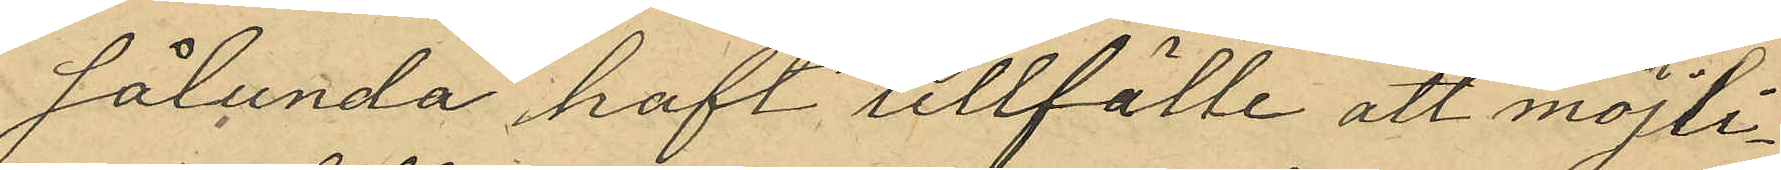sålunda haft tillfälle att möjli¬
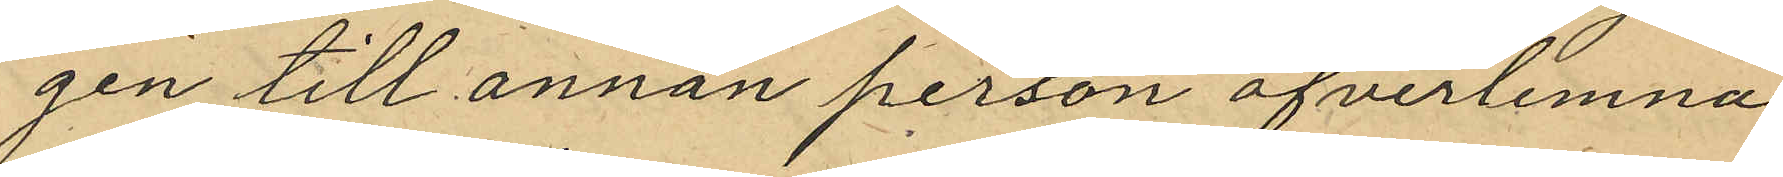gen till annan person öfverlemna
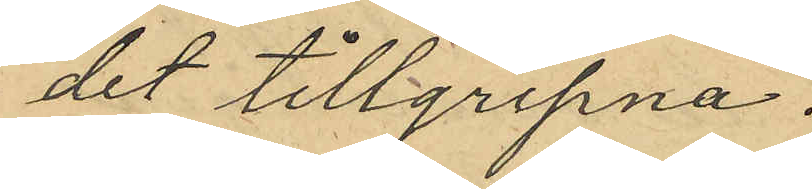det tillgripna.
